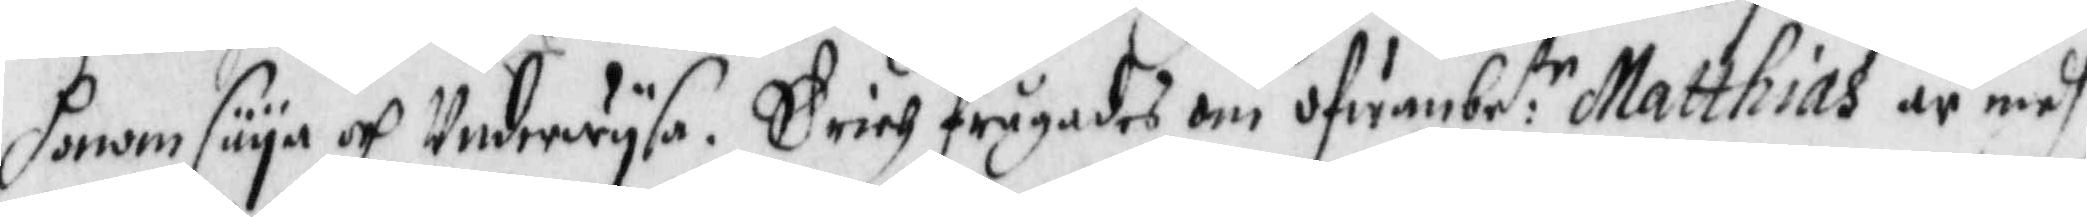honom säya och Underwysa. Erich frågades om ofwanbe:te Matthias är medh
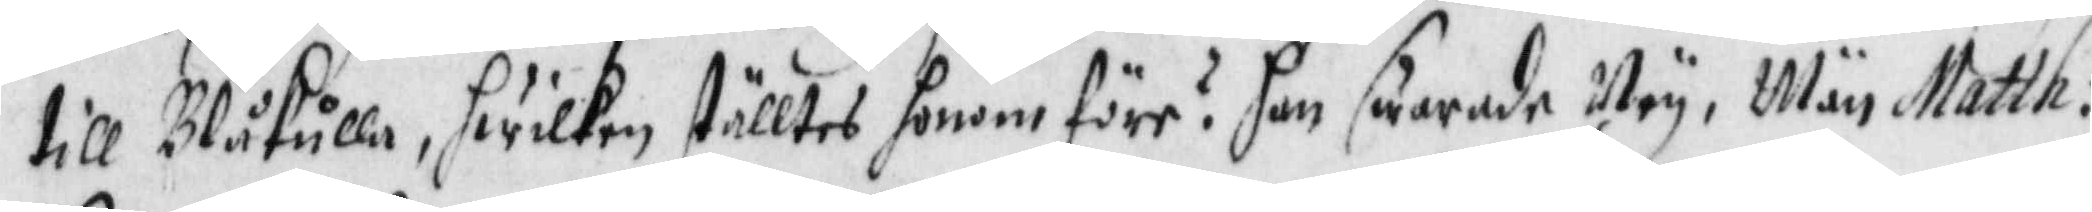till Blåkulla, hwilken ställtes honom före? han swarade Ney. Män Matth:
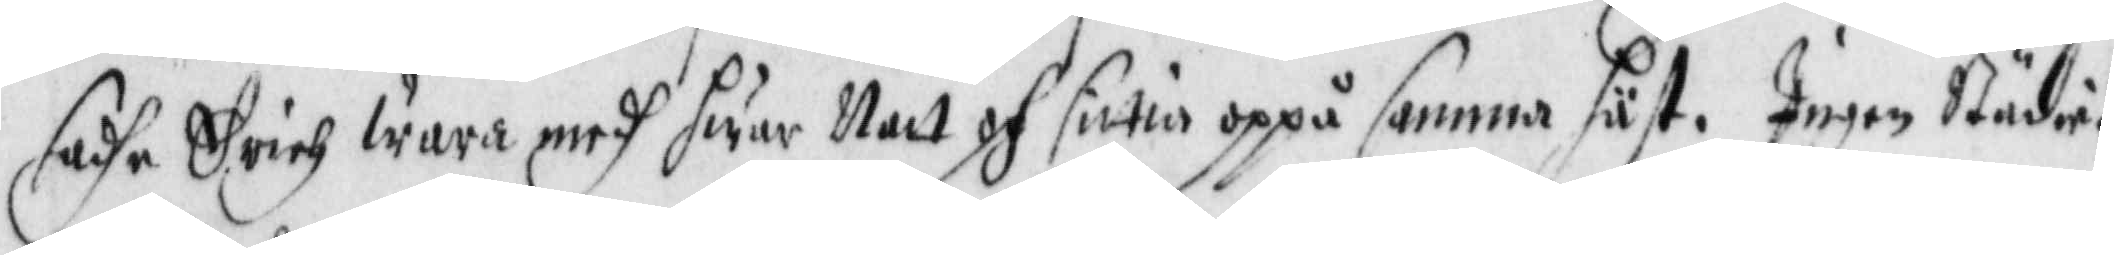sadhe Erich wara medh hwar Natt och sittia oppå samma häst. Ingen Städie¬
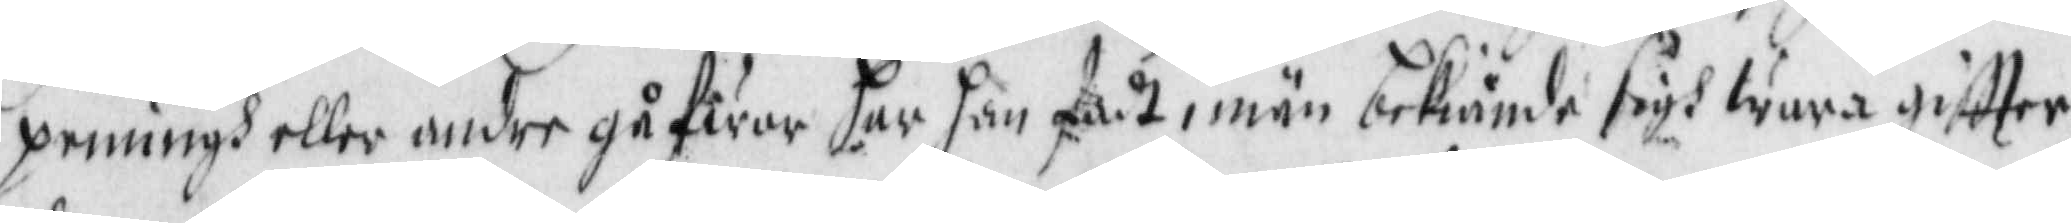penningh eller andre gåfwor har han fådt, män bekiände sigh wara giftter
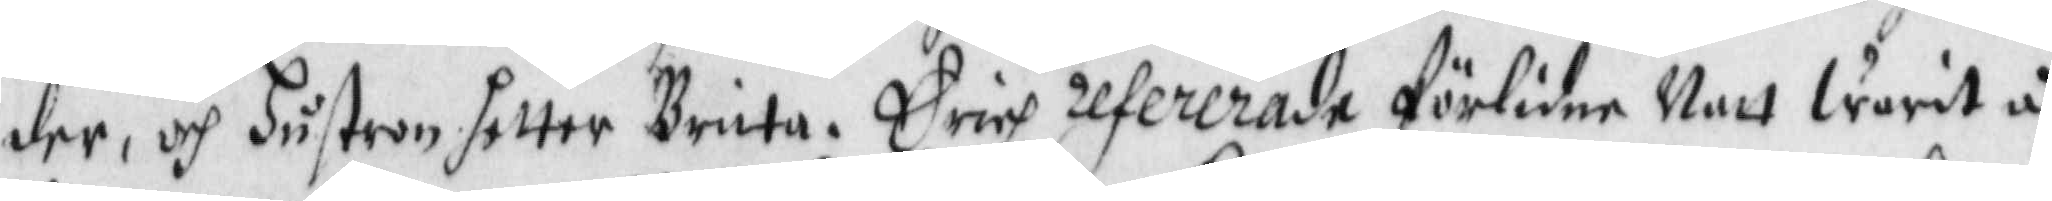der, och hustron hetter Brita. Erich refererade förlidne Natt warit å¬
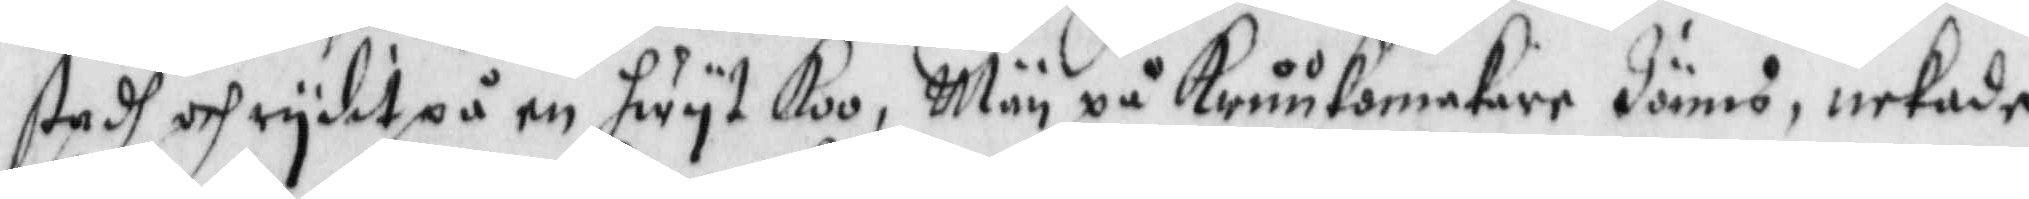stadh och rydit på en hwyt Koo, Män på Kruukomakare Jöns, nekadhe
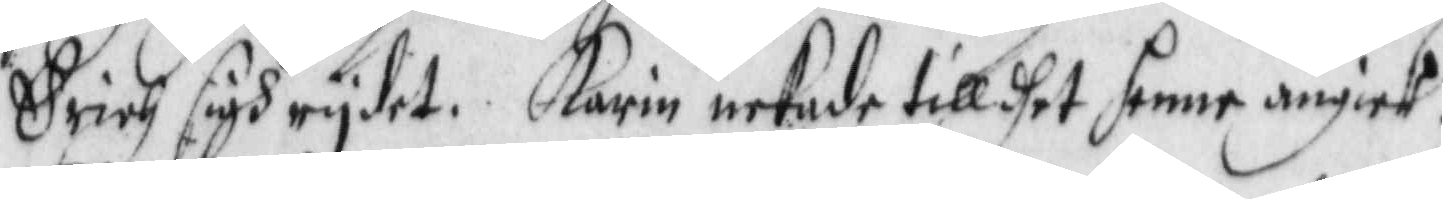Erich sigh rydit. Karin nekade till dhet henne angick.
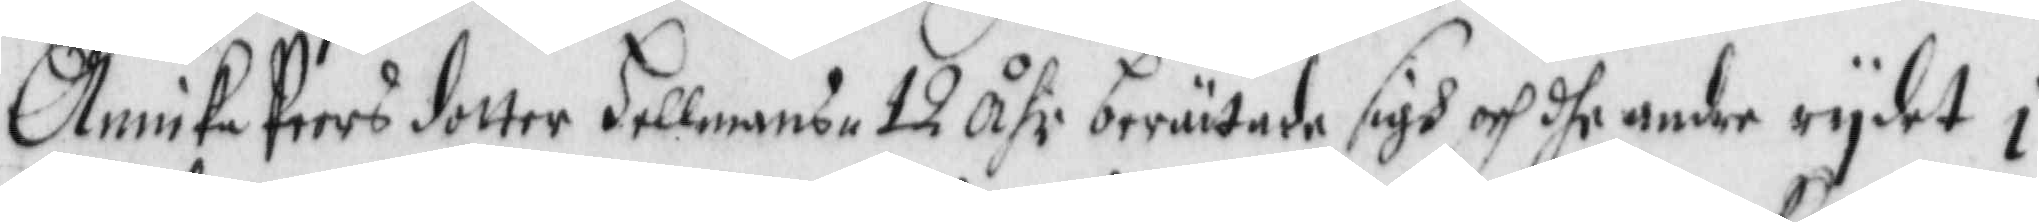Annika Peersdotter Hellmans 12 Åhr berättade sigh och dhe andre rydit i
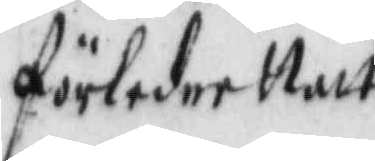förledne Natt
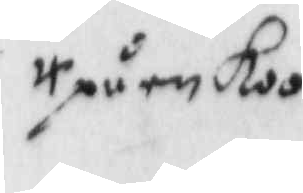på en koo
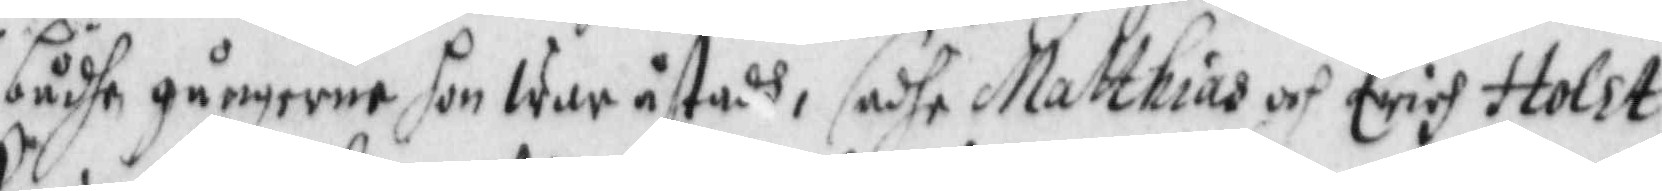bådhe gångerne hon war åstadh, sadhe Matthias och erich Holst
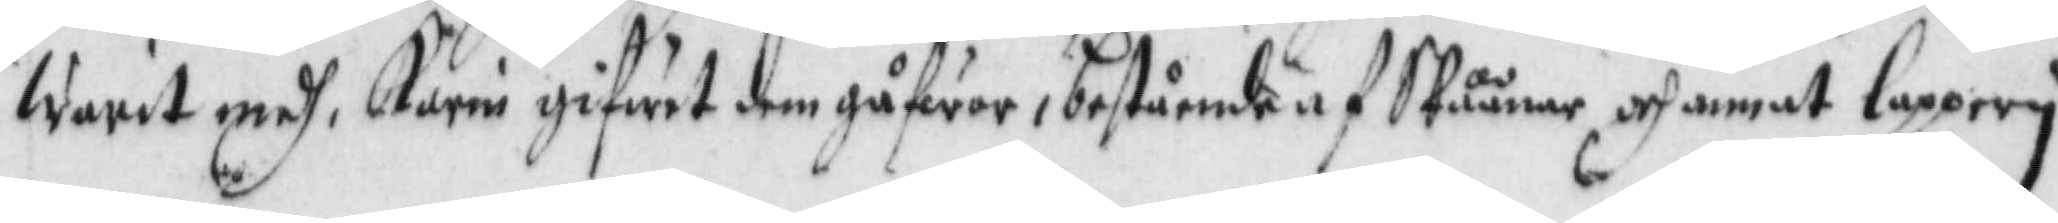warit medh, Karin gifwit dem gåfwor, bestående af Skåånar och annat lappery
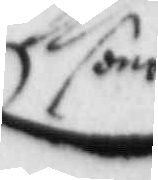som
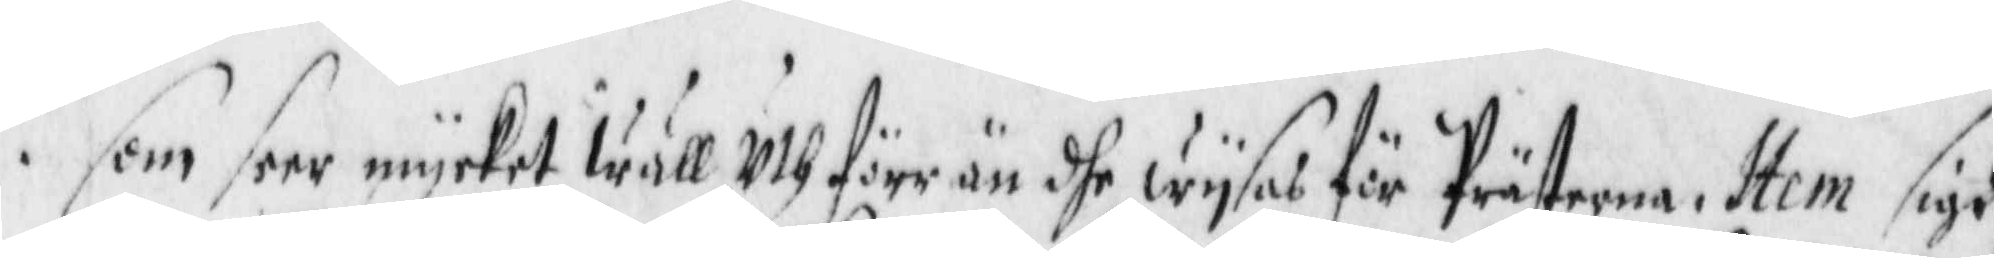som seer mycket wäll Uth före än dhe wysat för Prästerna. Item sigh
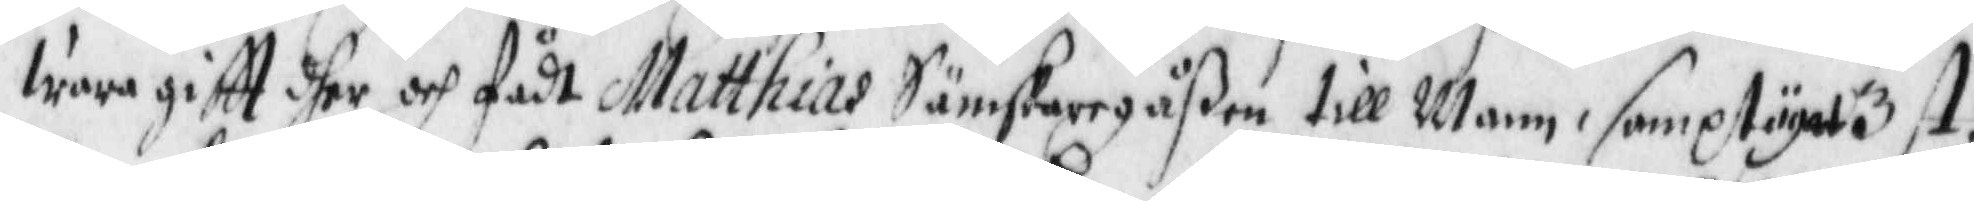wara giftt dher och fådt Matthias Sämskaregåßen till Mann, sampt ägat 3 st:
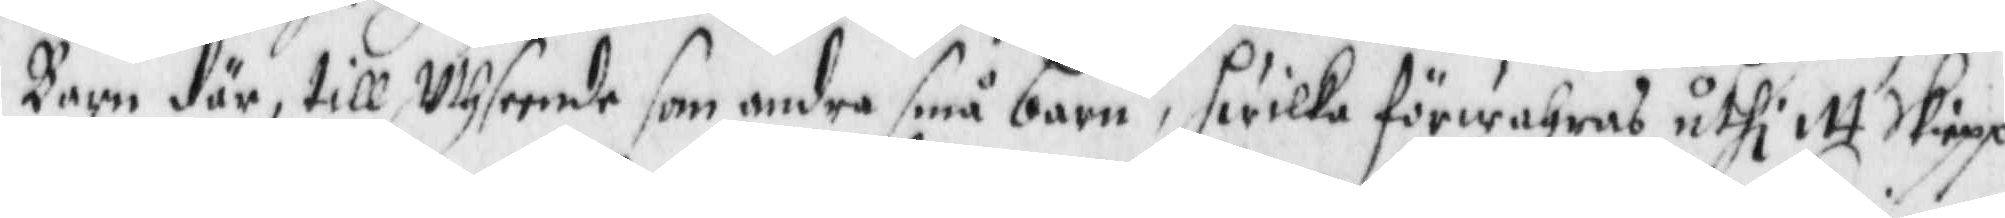Barn  där, till Uthseende som andra små barn, hwilka förwahras uthi itt Skiepp
